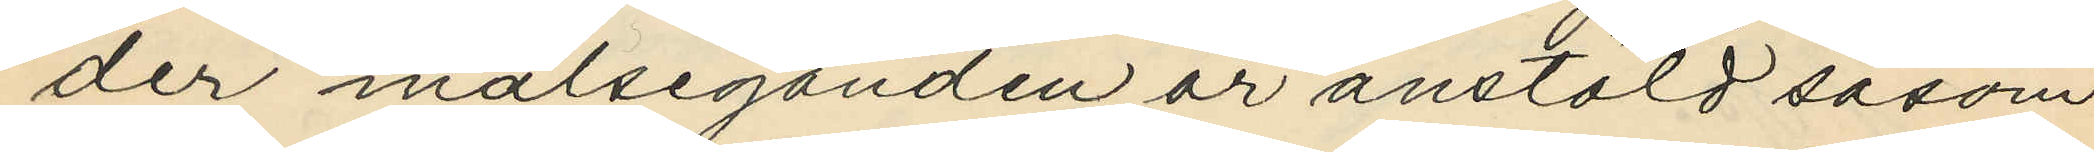der målseganden är anstäld såsom
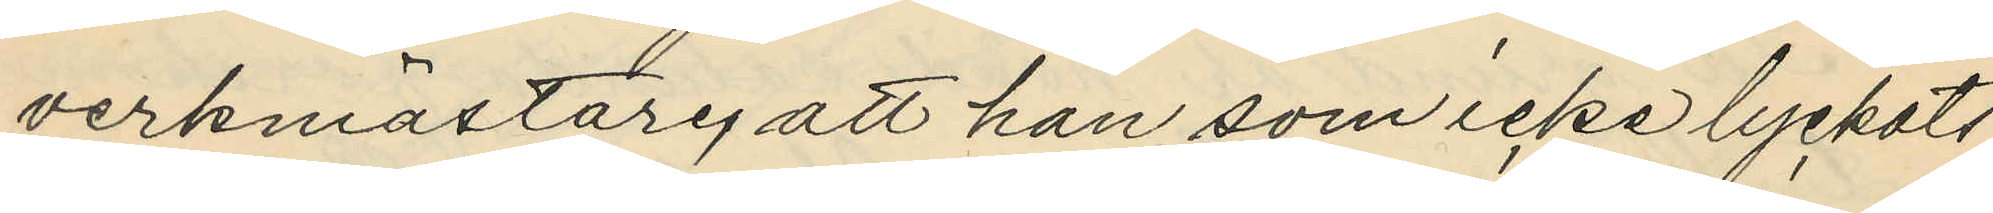verkmästare, att han som icke lyckats
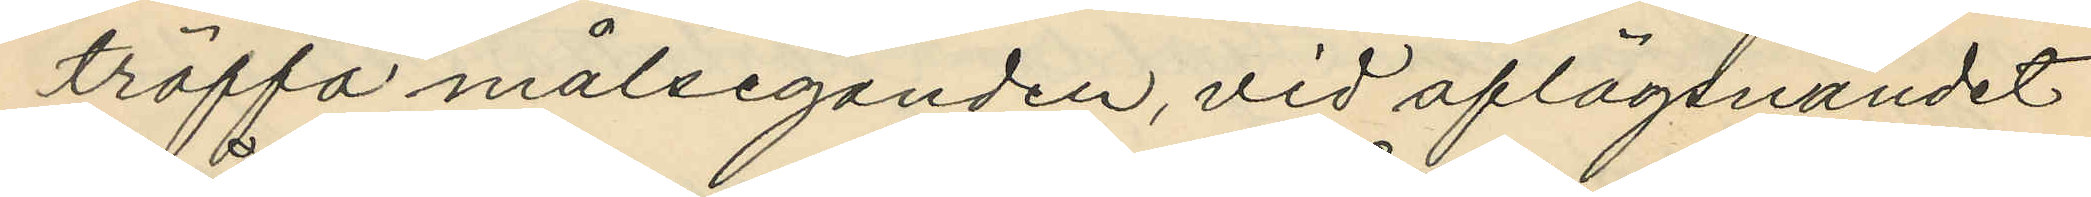träffa målseganden, vid aflägsnandet
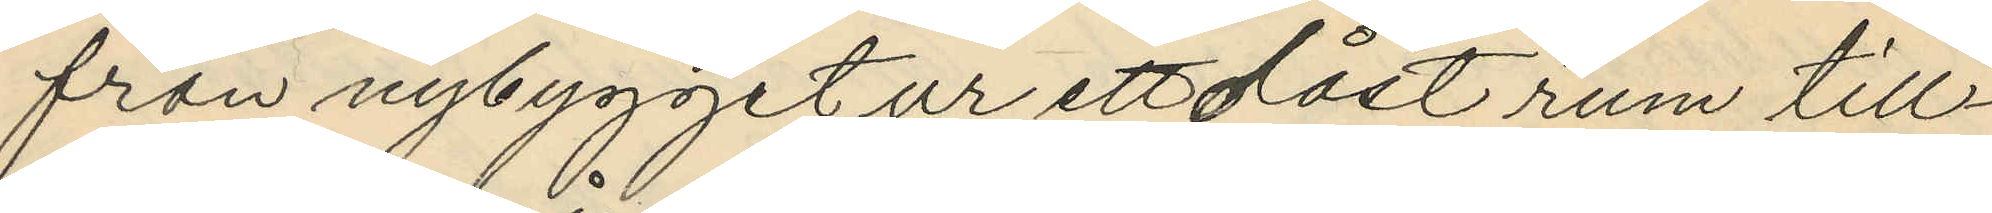från nybygget ur ett olåst rum till¬
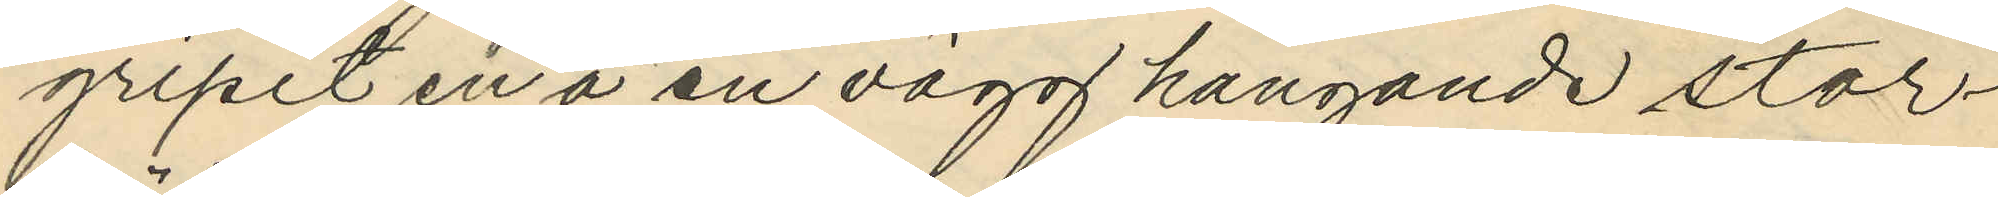gripit en å en vägg hängande stor¬
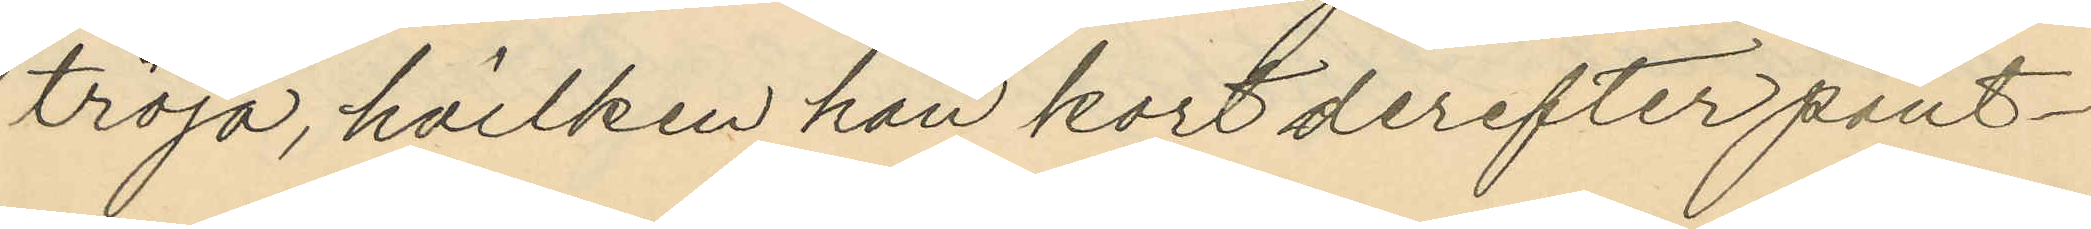tröja, hvilken han kort derefter pant¬
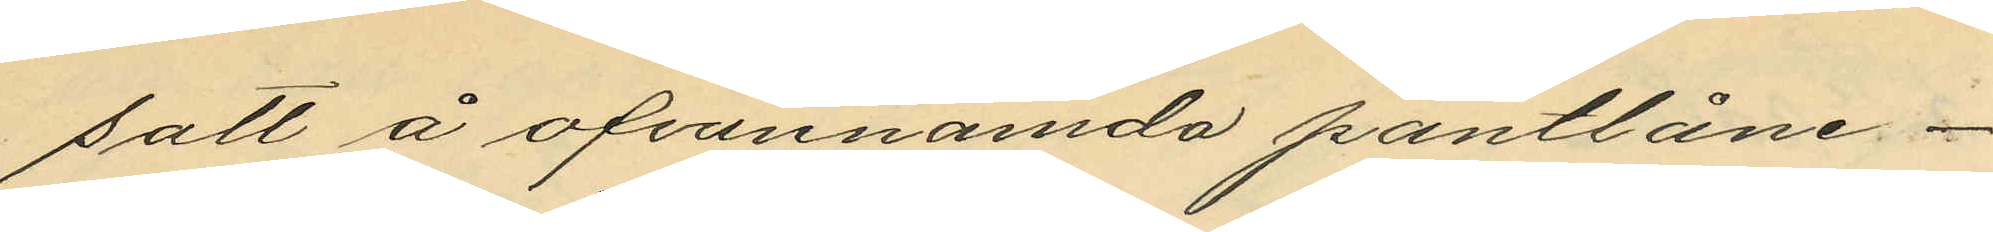satt å ofvannämda pantlåne¬
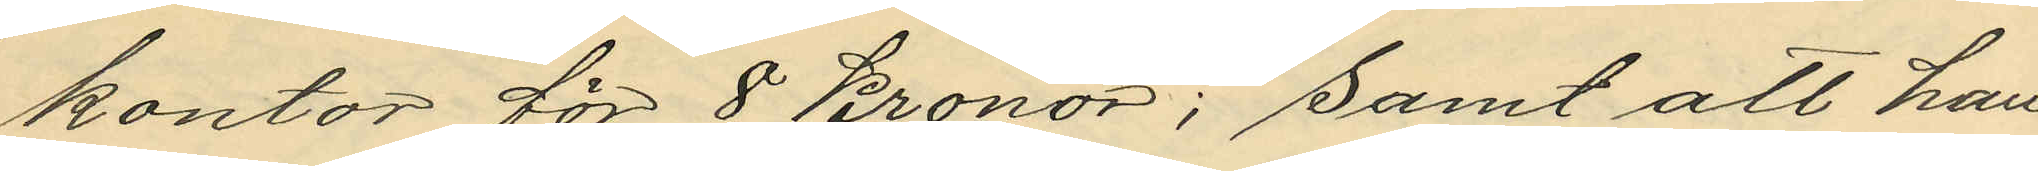kontor för 8 kronor; samt att han
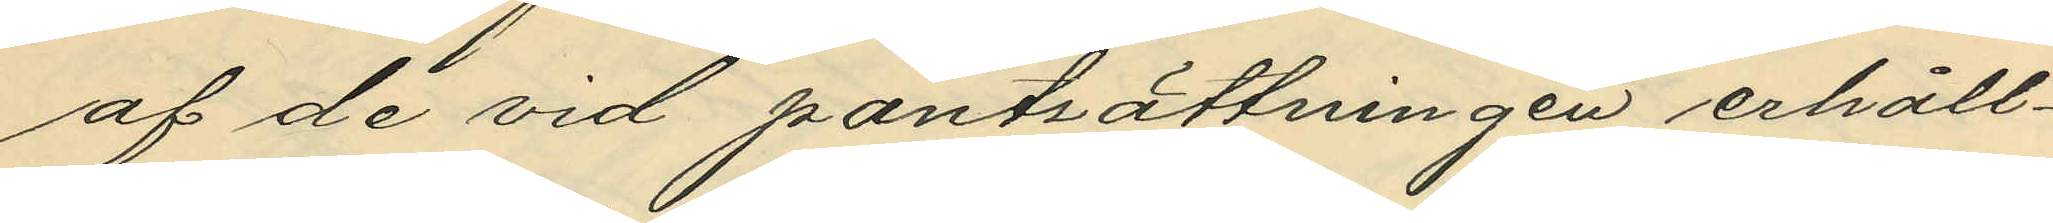af de vid pantsättningen erhåll¬
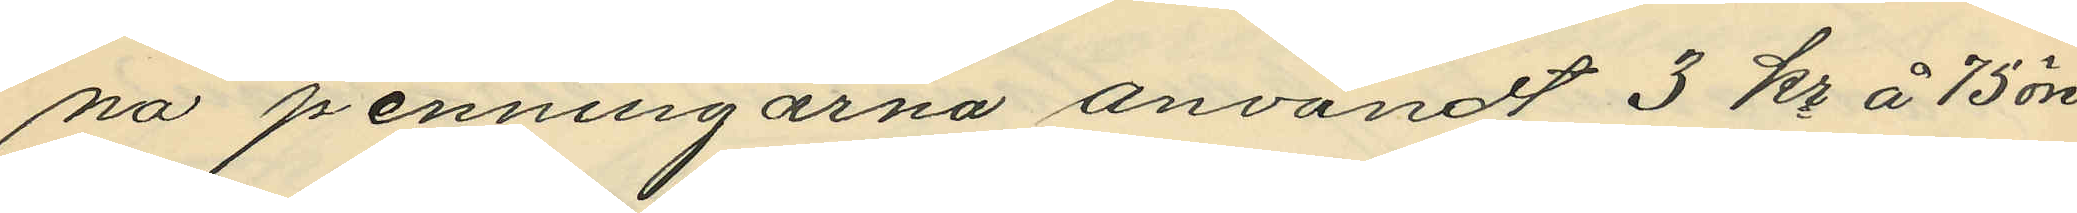na penningarna användt 3 kr å 75 öre
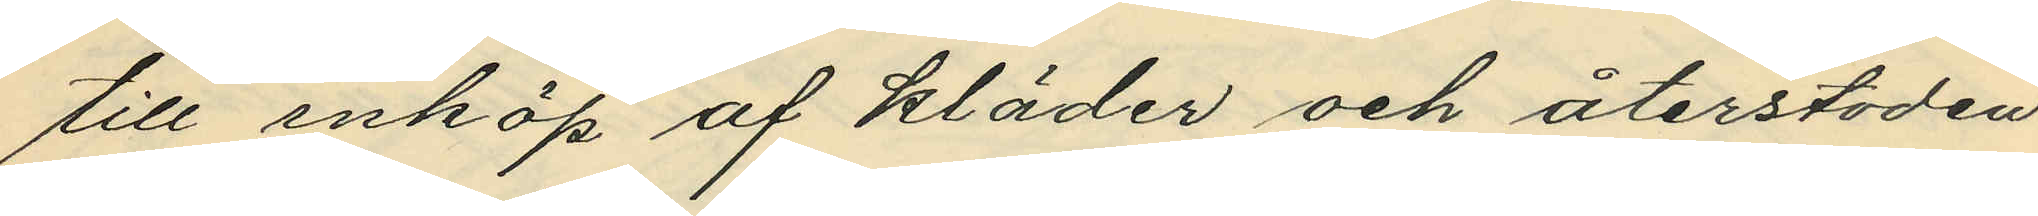till inköp af kläder och återstoden
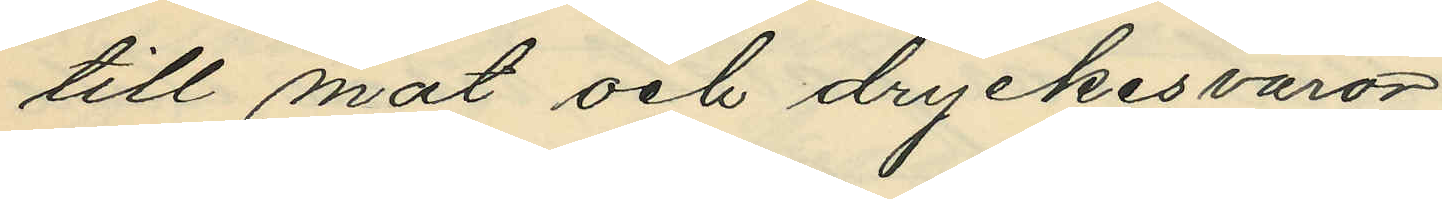till mat och dryckesvaror.
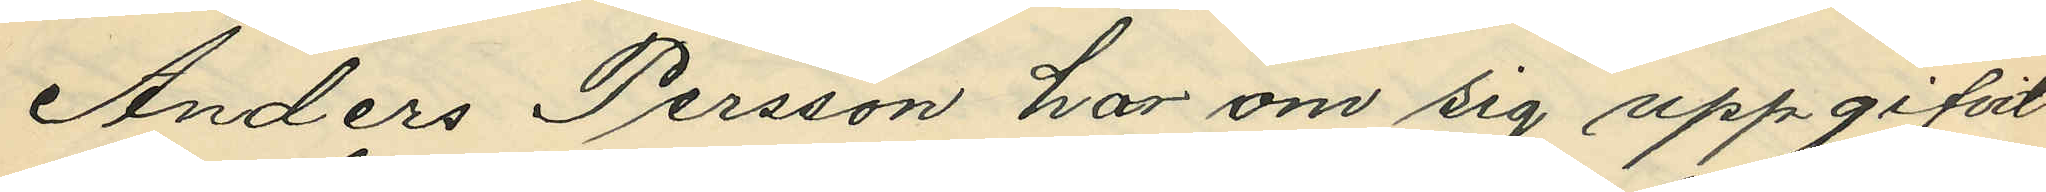Anders Persson har om sig uppgifvit
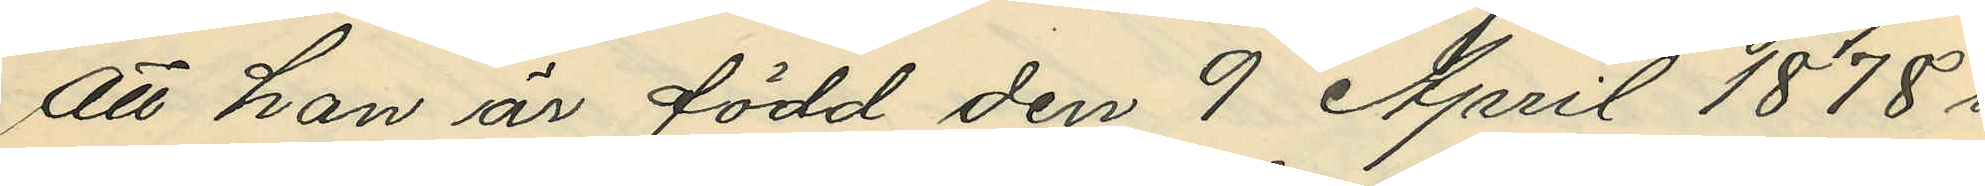att han är född den 9 April 1878 i
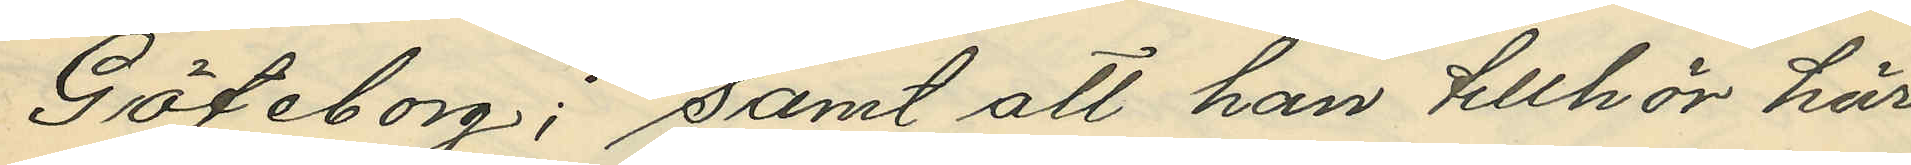Göteborg; samt att han tillhör här¬
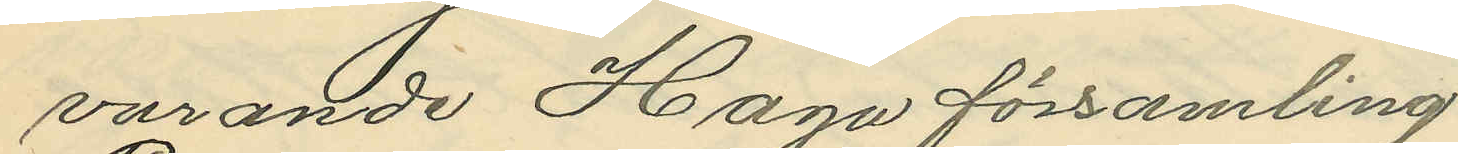varande Haga församling.
